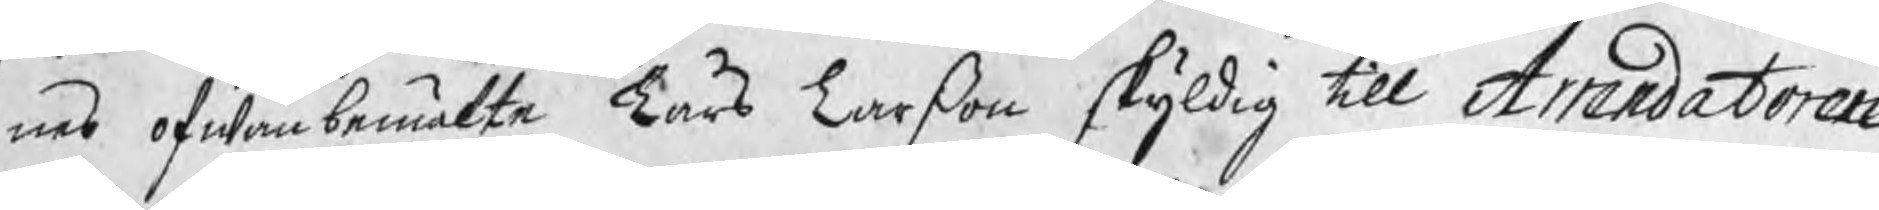nes ofwanbemälte Lars Larßon skyldig till Arrendatoren
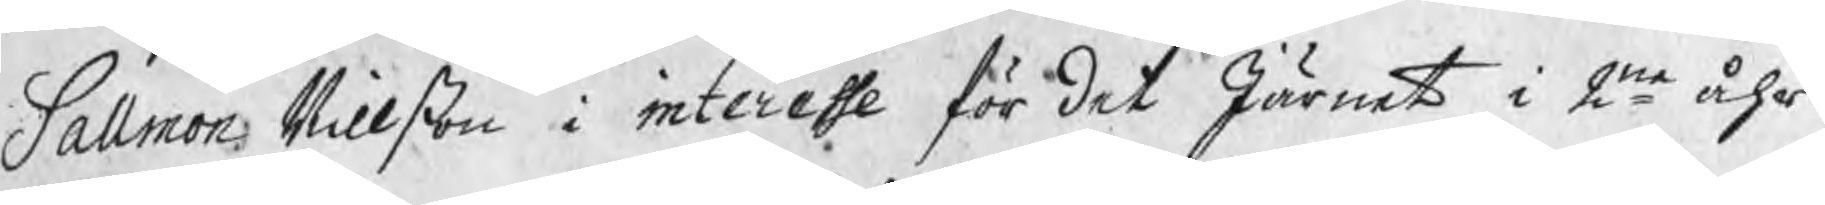Sallmon Nillßon i interesse för det Järnet i 2ne åhrs
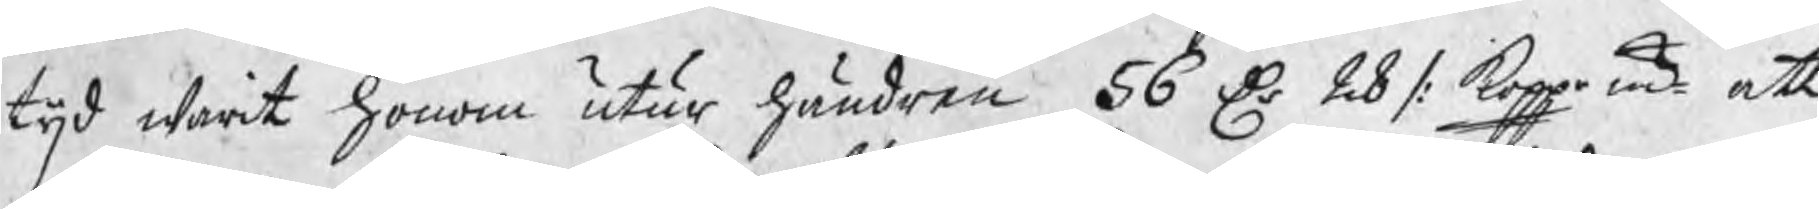tijd warit honom utur händren 56 Dr 28 /: koppr mt att
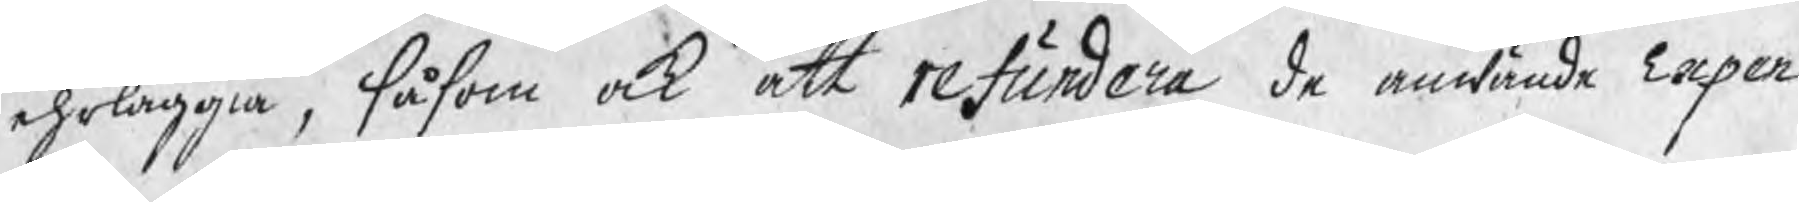ehrläggia, såsom ock att refundera de anwände Expen¬
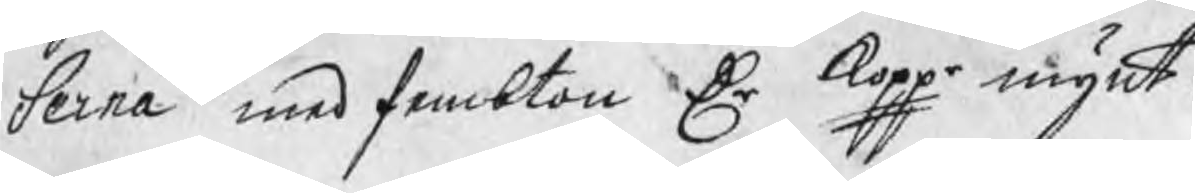serna med fembton Dr koppr mynt.
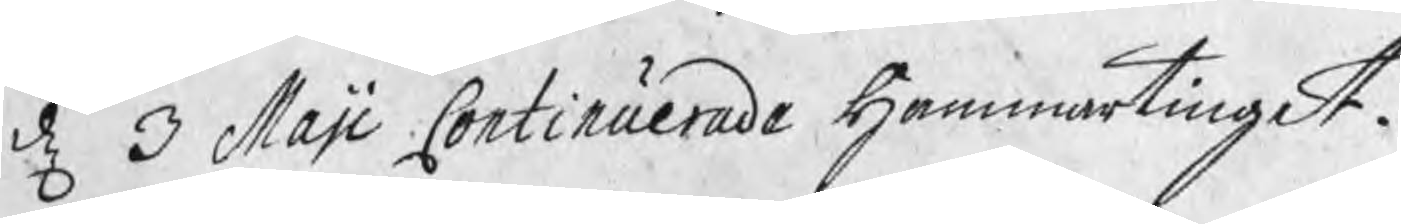d 3 Maji Continuerade Hammartinget.
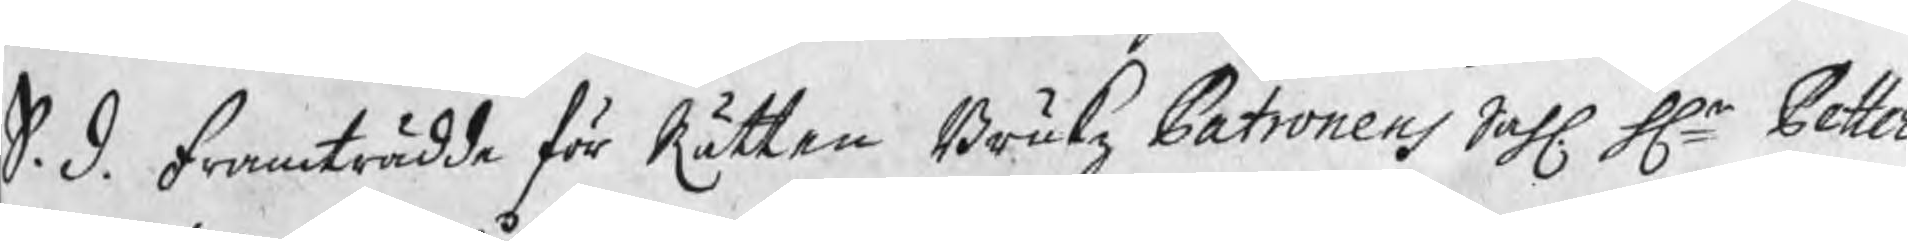S. d. Framträdde för Rätten Brukz Patronen Sahl Hr Petter
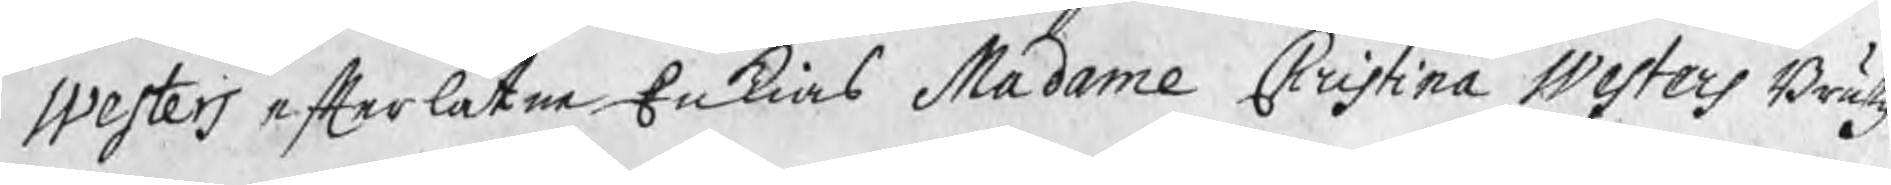Westers efterlåtne Enkias Madame Christina Westers Brukz¬
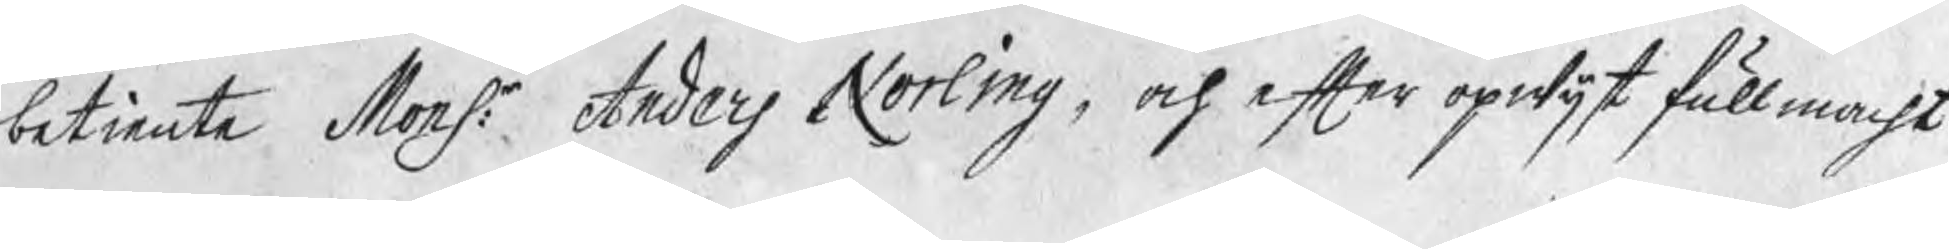betiente Monsr: Anders Norling, och efter opwijst fullmacht
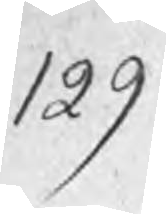129
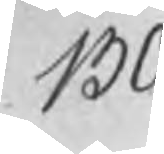130
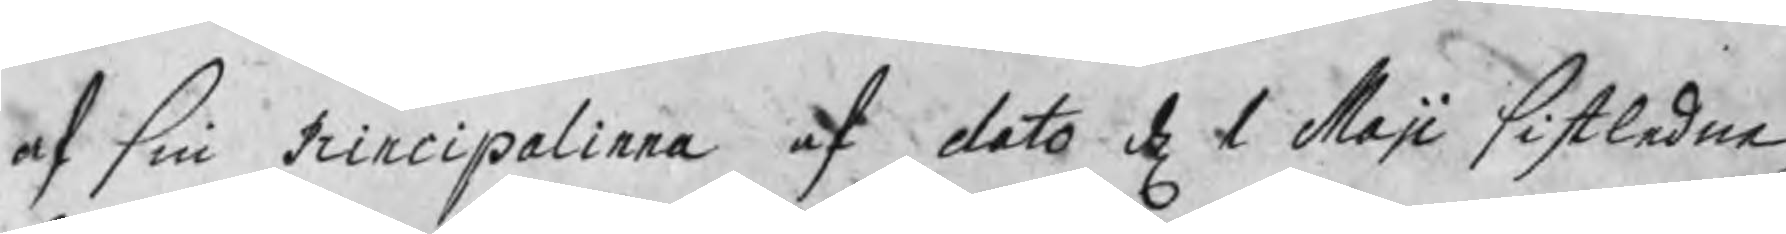af sin Principalinna af dato d 1 Maji sistledna,
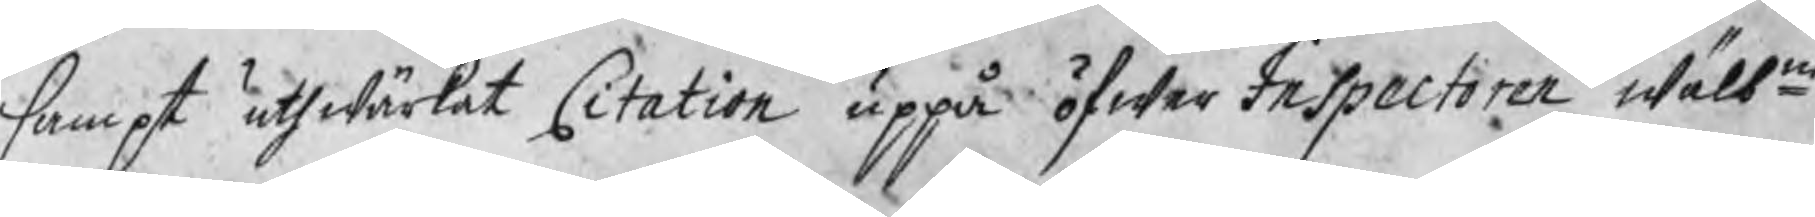sampt uthwärkat Citation uppå öfwer Inspectoren wälbne
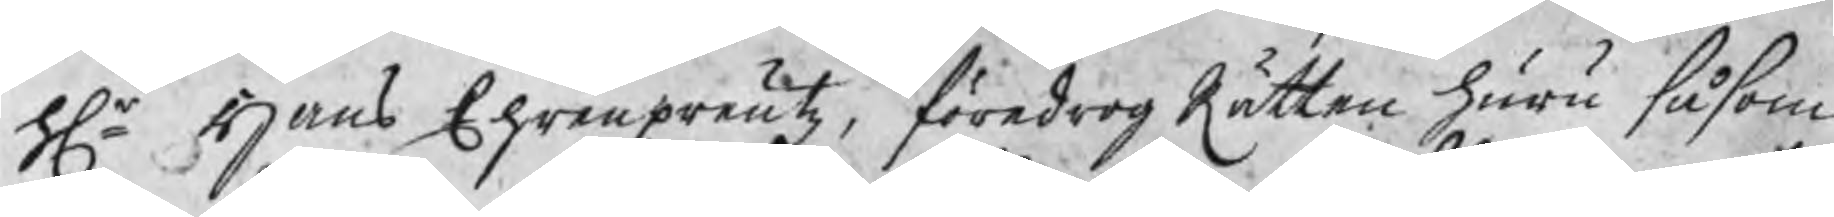Hr Hans Ehrenpreutz, föredrog Rätten huru såsom
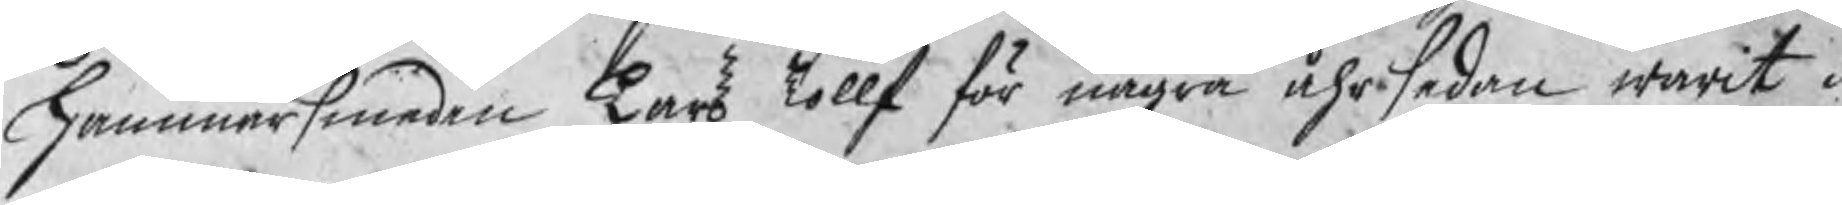hammarsmeden Lars Tollf för några åhr sedan warit i
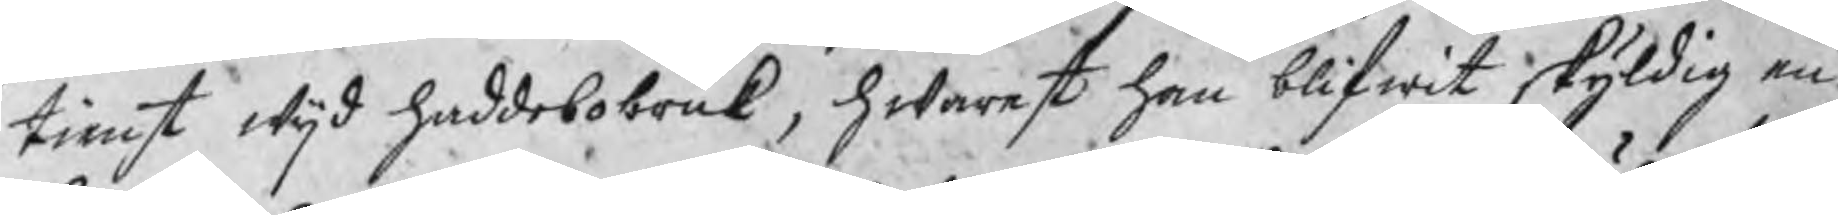tienst wijd haddebobruk, hwarest han blifwit skyldig en
